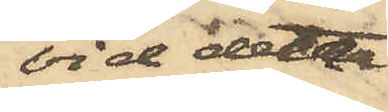vid detta
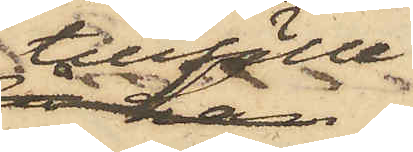tillfälle
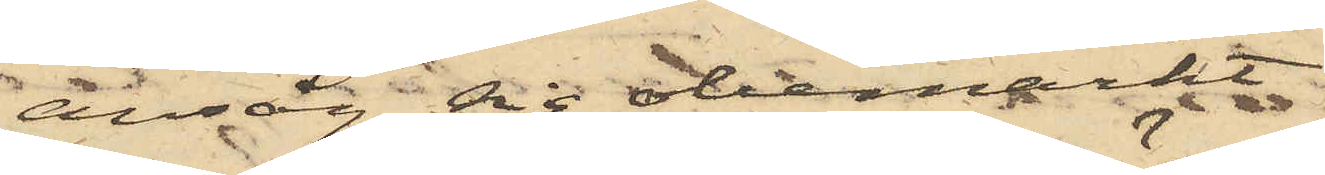ansåg sig obemärkt
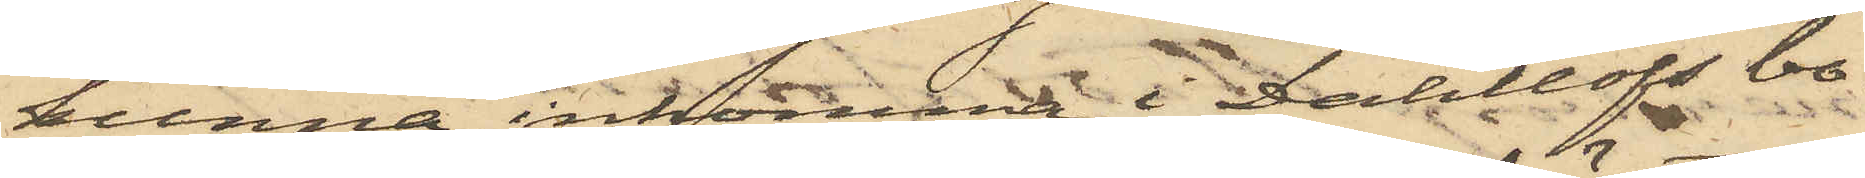kunna inkomma i Dahllöfs bo¬
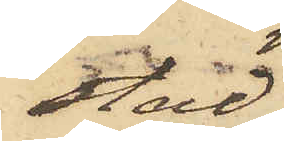stad,
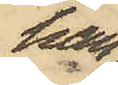han
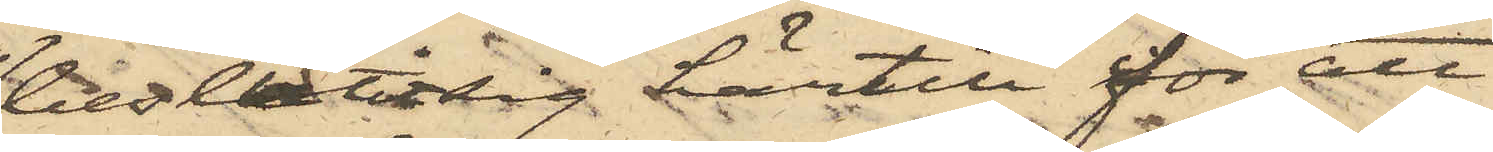beslutat sig härtill för att
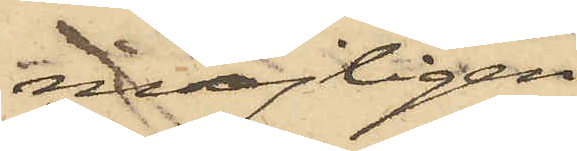möjligen
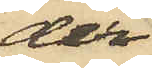der
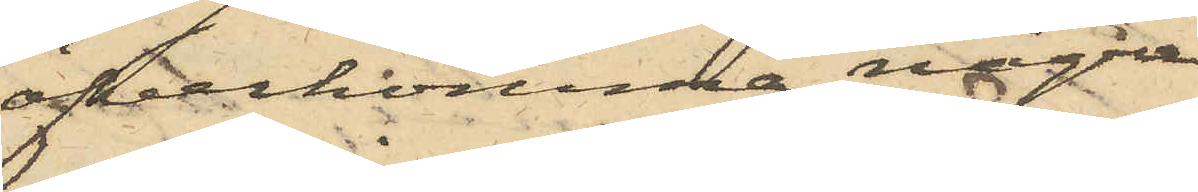öfverkomma några
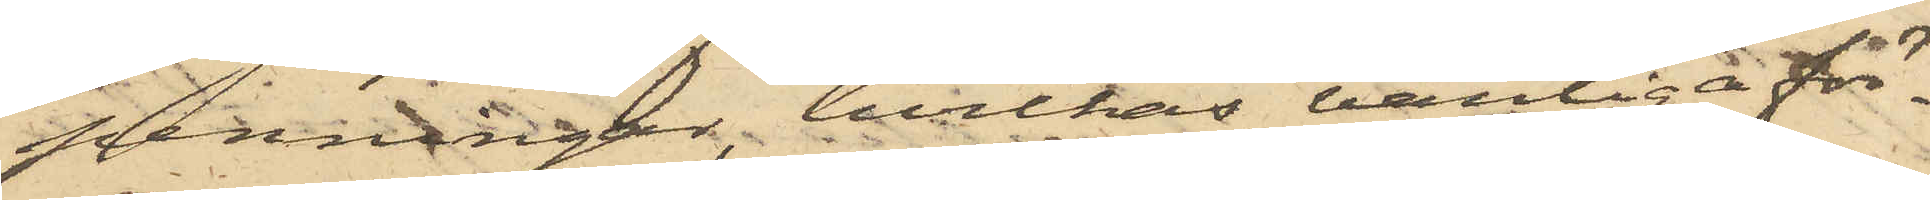penningar, hvilkas vanliga för¬
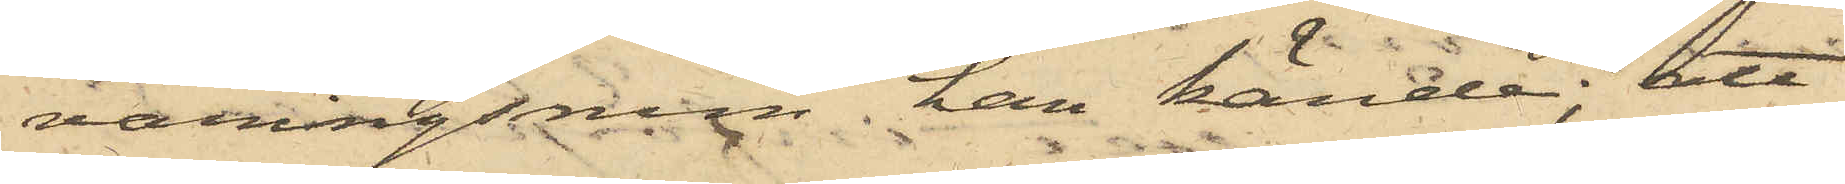varingsrum han kände; att
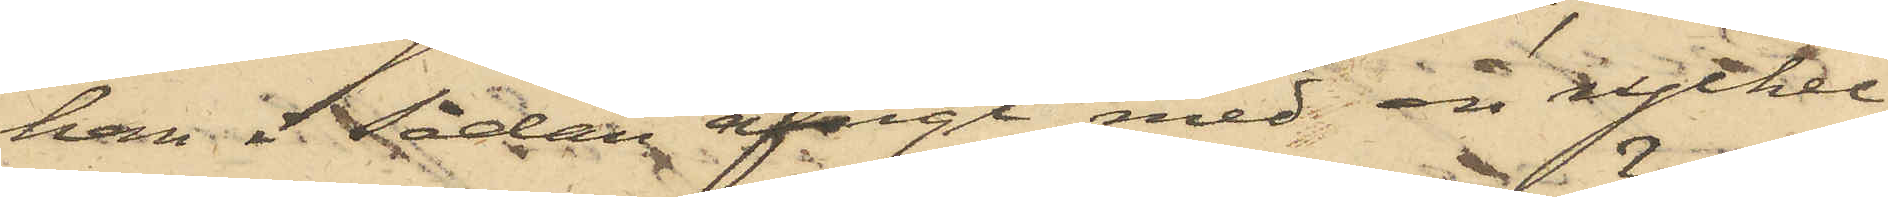han i sådan afsigt med en nyckel
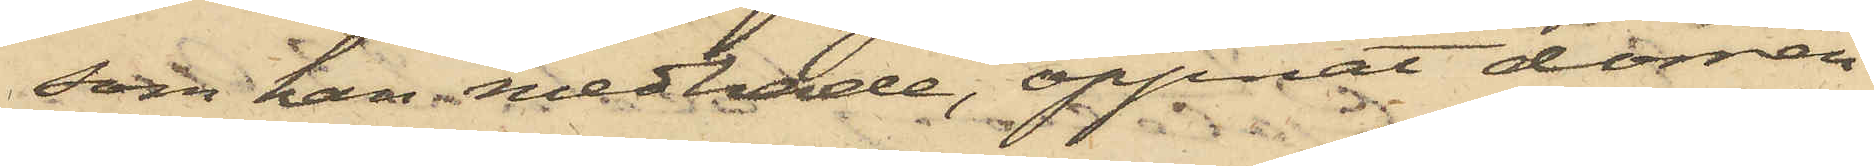som han medhafde, öppnat dörren
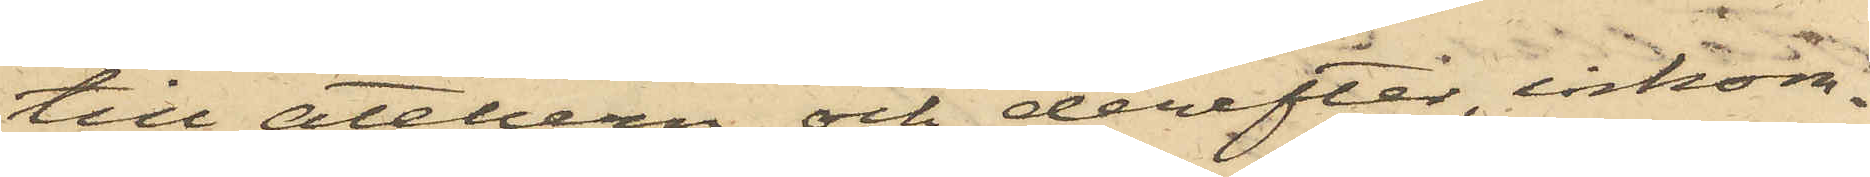till ateliern och derefter, inkom¬
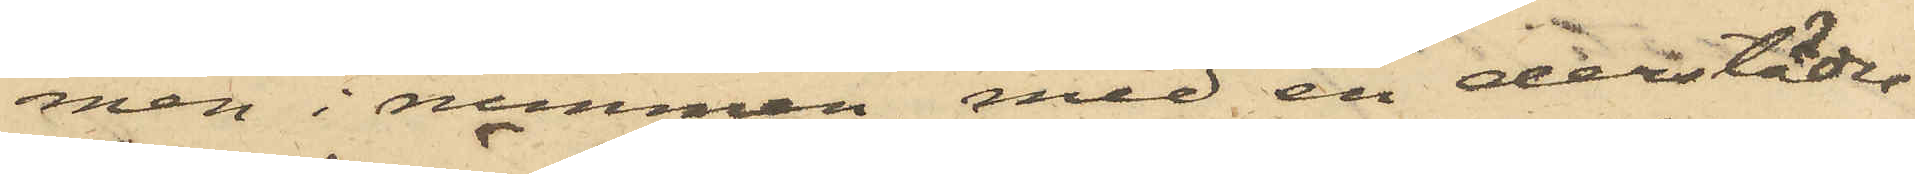men i rummen, med en derstädes
